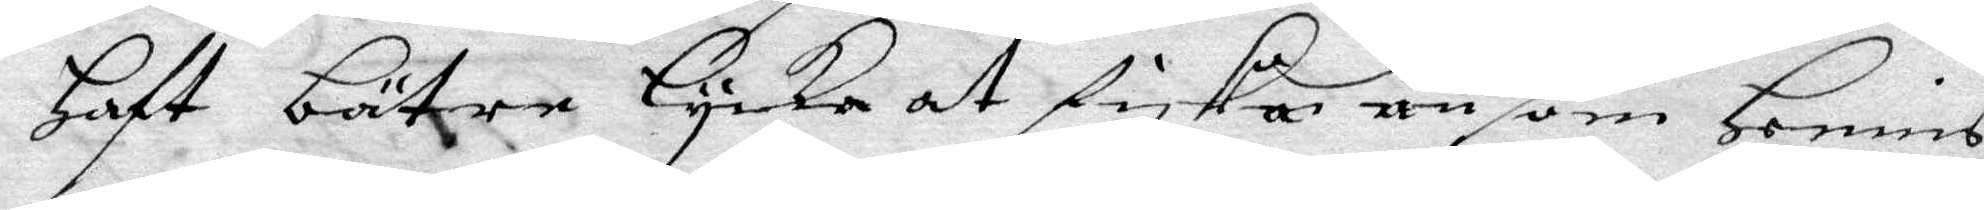Haft bätre Lycka at fiska än som Hennis
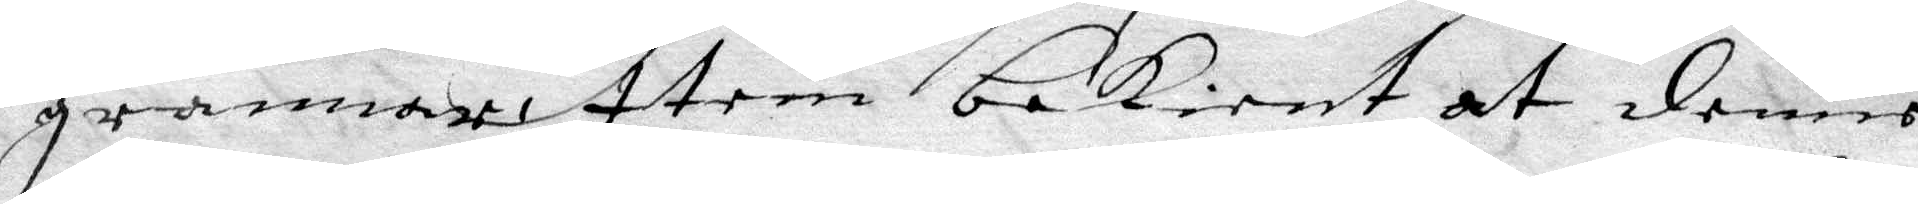grannar, Item bekient at denne
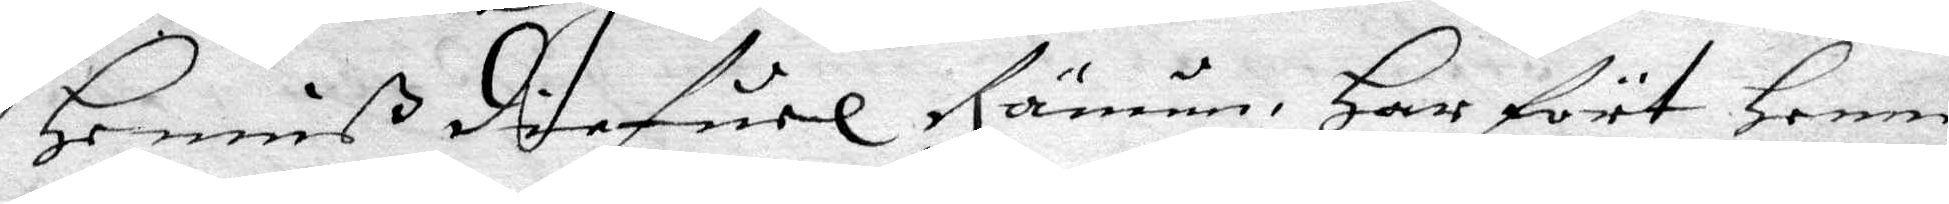Henniß diefuel Rämun, Har fört Henne
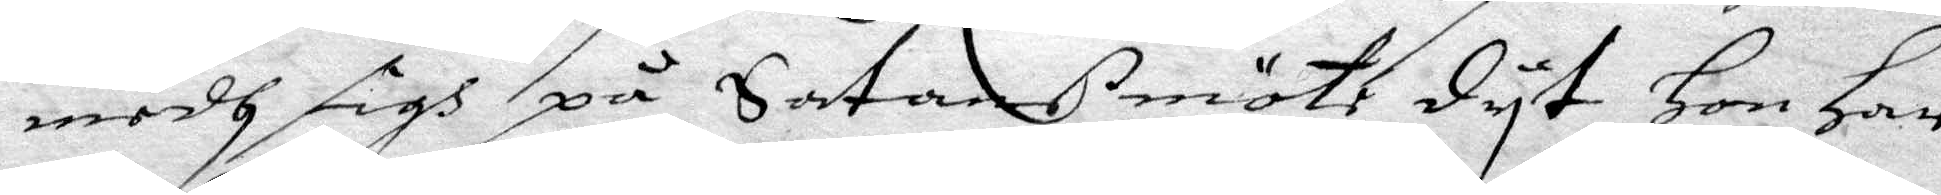medh sigh på Satans möthe dyt Hon Har
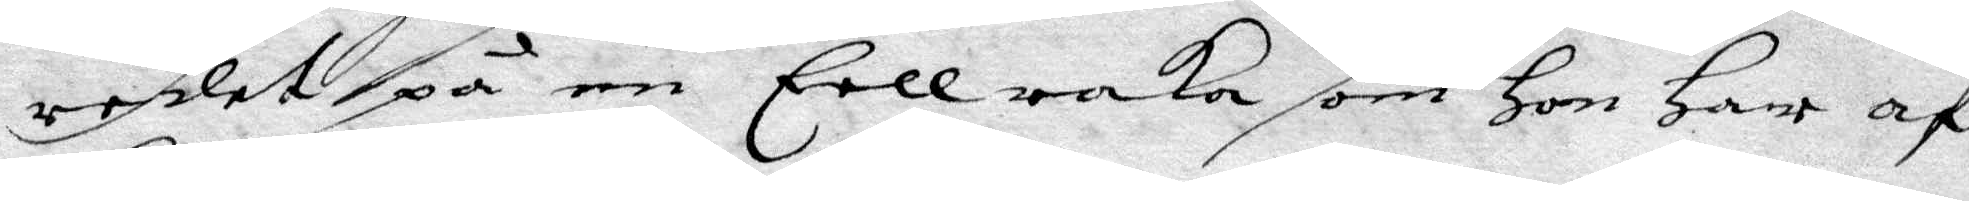redet på en Eellraka som Hon Har af
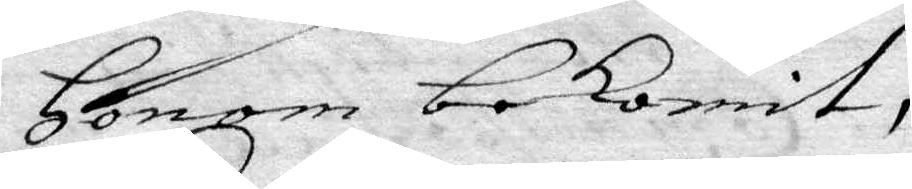Honom bekomit,
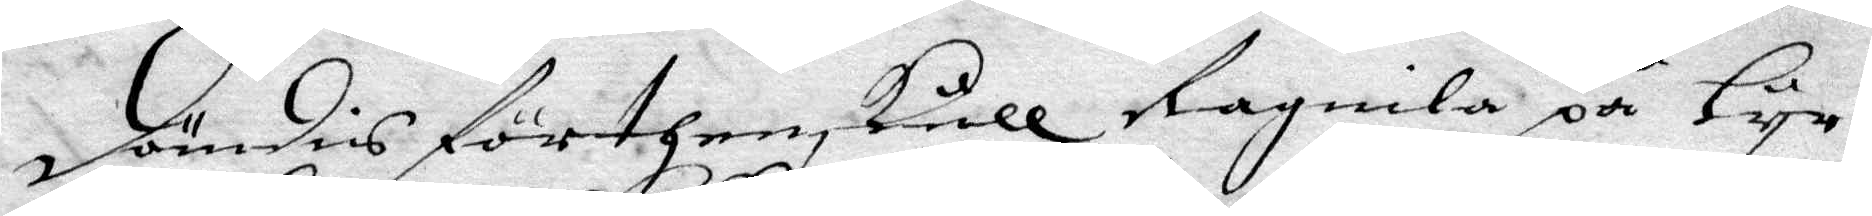dömdis förthenskull Ragnila på Lyr
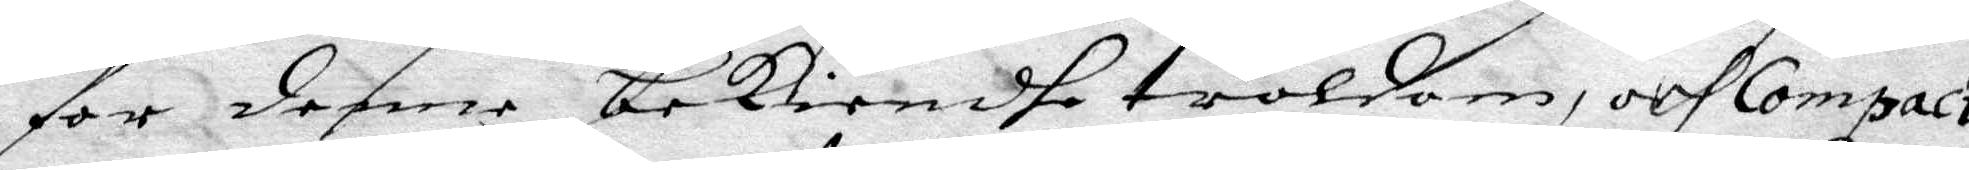för denne bekiendhe troldom, och Compact
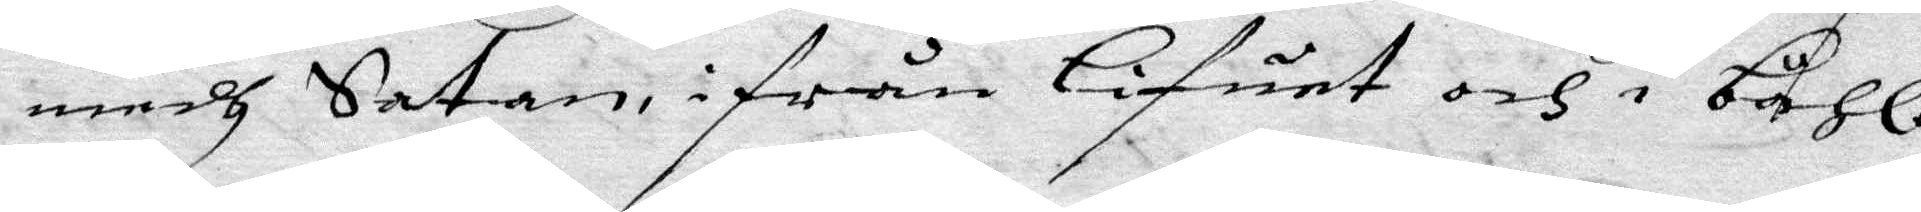medh Satan ifrån lifuet och i båhle
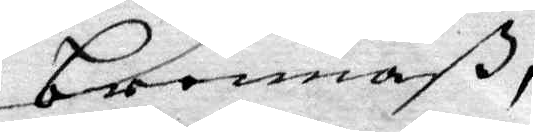brennaß,
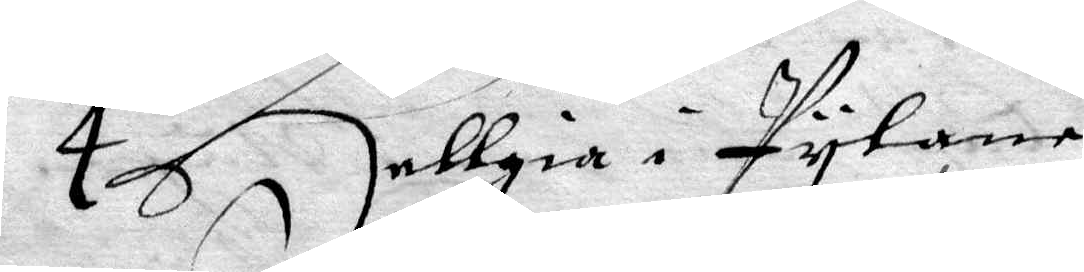4 Hellgia i Pylane
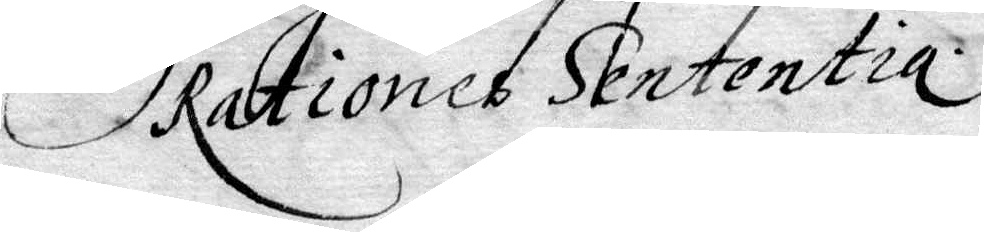Rationes Sententia.
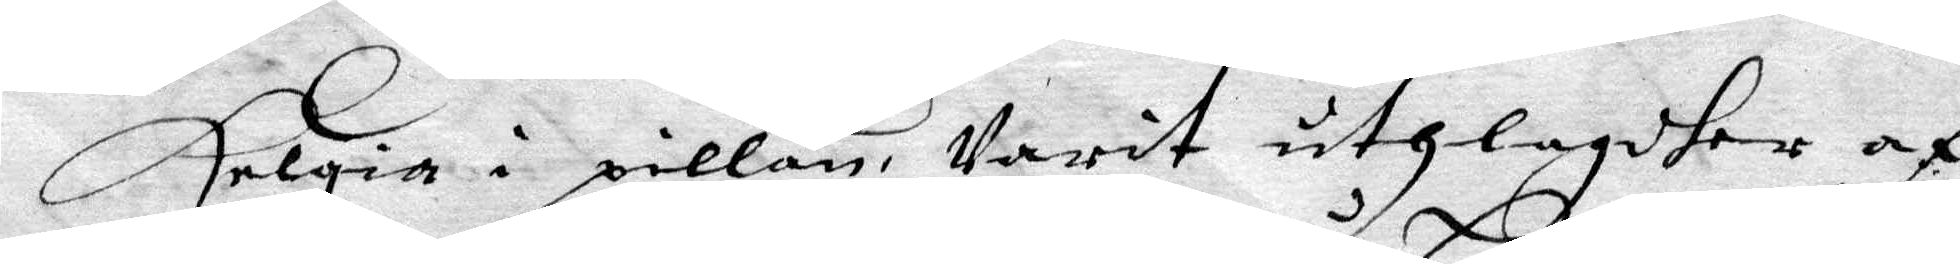Helgia i pillan, ßarit uthlagdher af
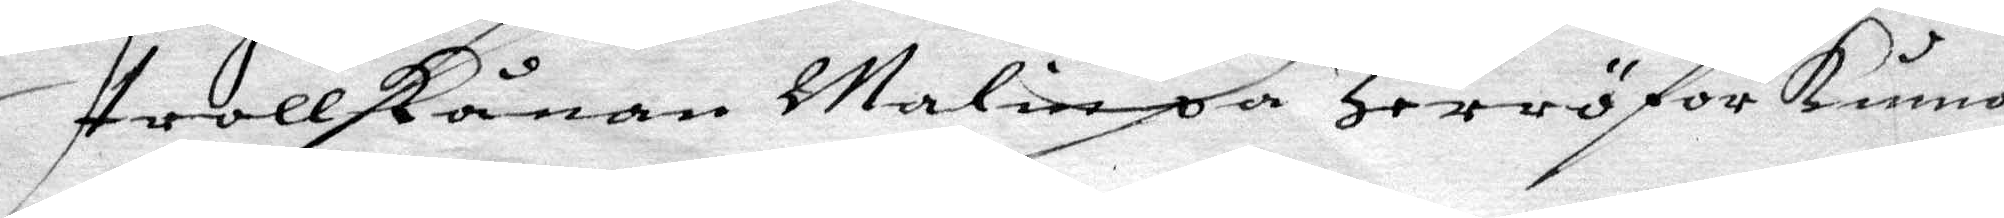trollkånan Malin på Herrö for kunna
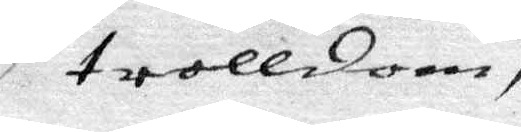trolldom,
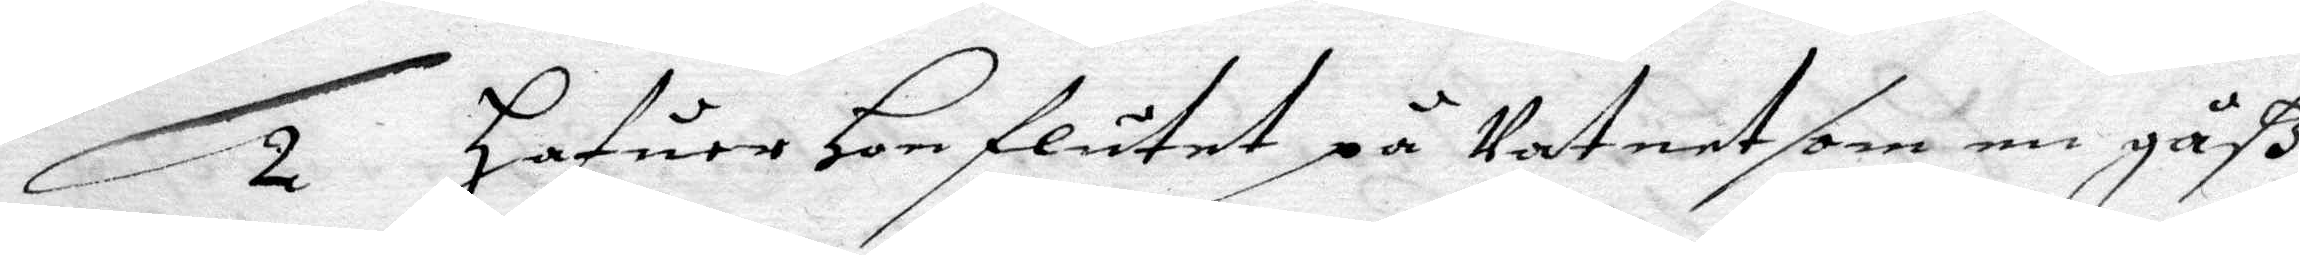2 Hafuer Hon flutet på Vatnet som en gåß
